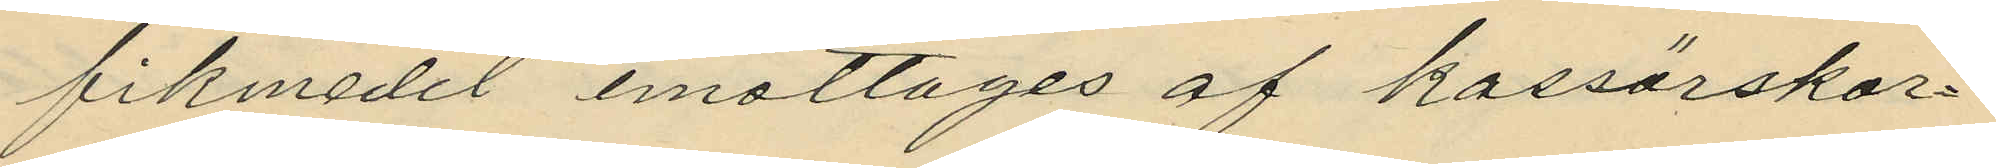fikmedel emottages af kassörskor¬
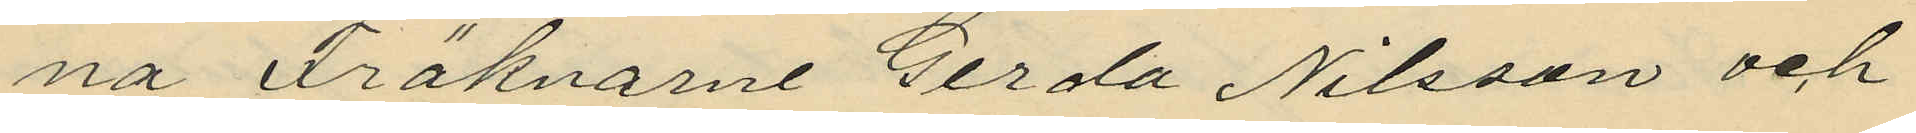na Fröknarne Gerda Nilsson och
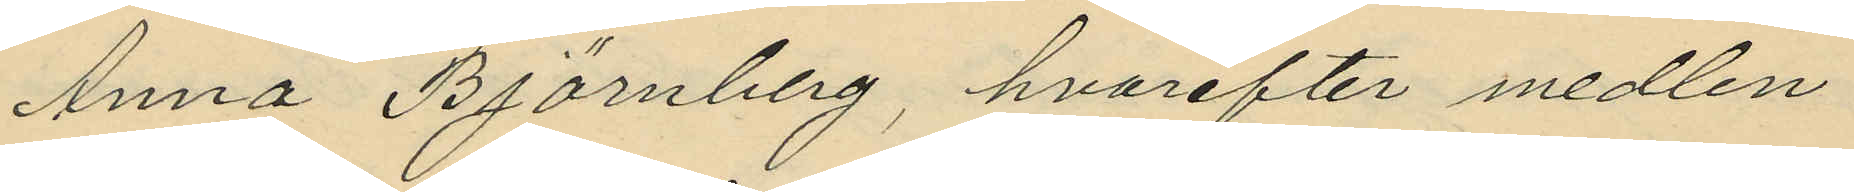Anna Björnberg, hvarefter medlen
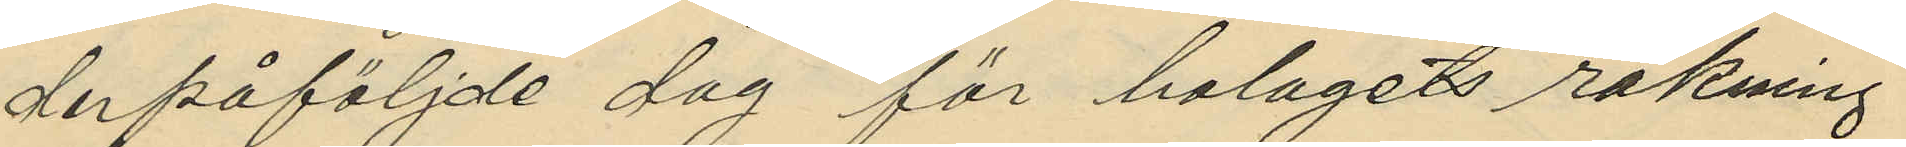derpåföljde dag för bolagets räkning
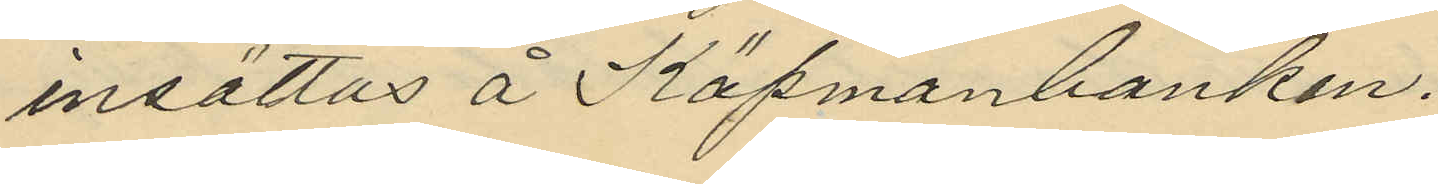insättas å Köpmanbanken,
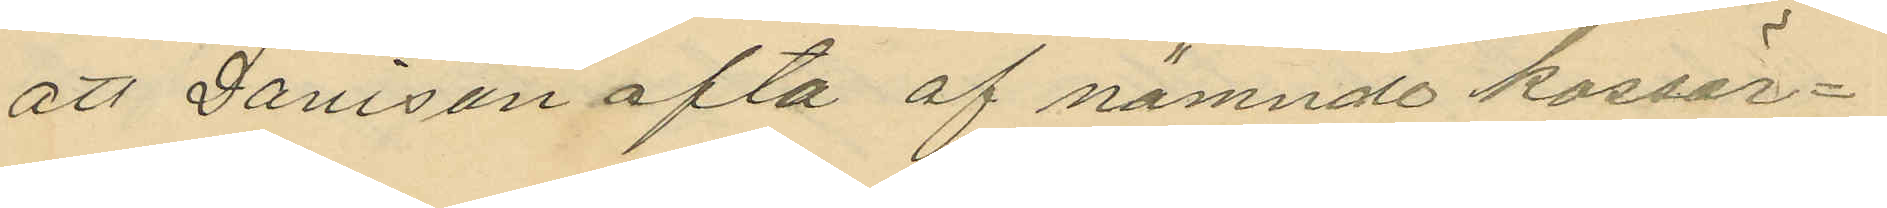att Davison ofta af nämnde kassör¬
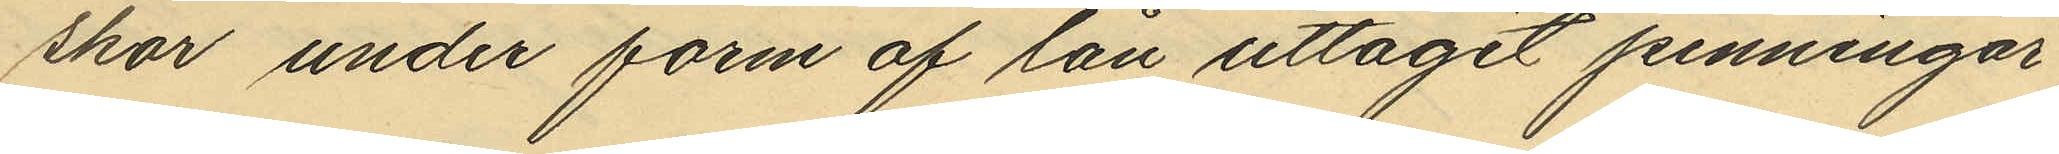skor under form af lån uttagit penningar
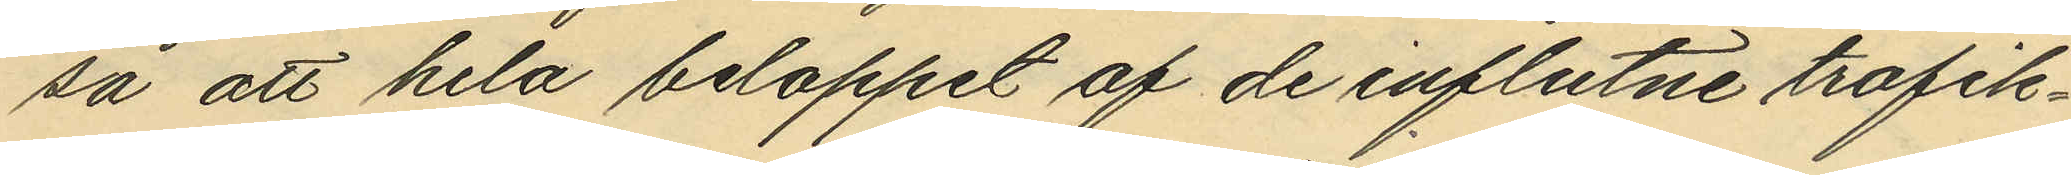så att hela beloppet af de influtne trafik¬
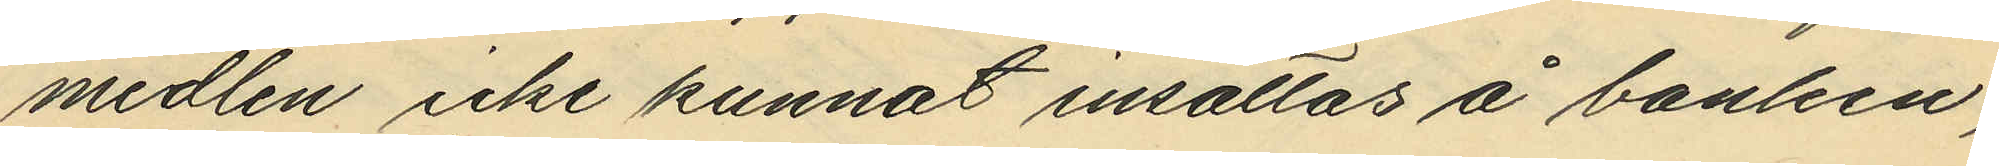medlen icke kunnat insättas å banken,
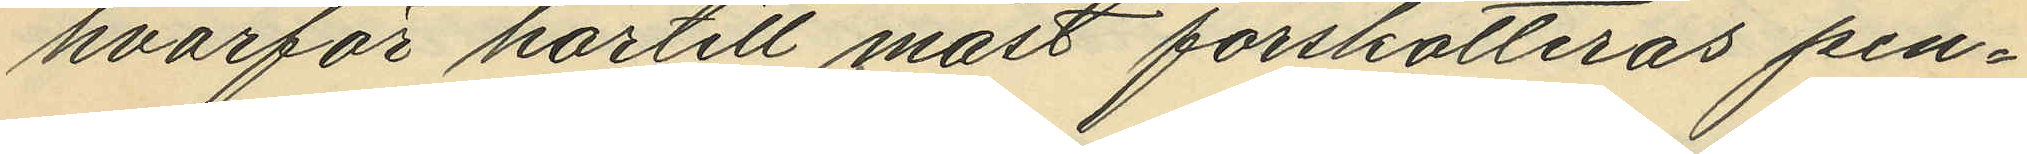hvarför härtill måst förskotteras pen¬
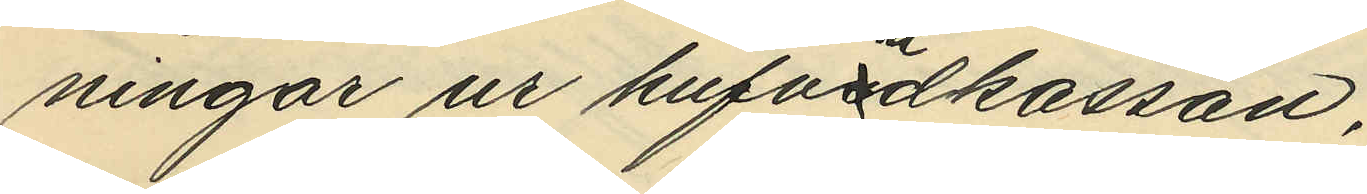ningar ur hufvudkassan,
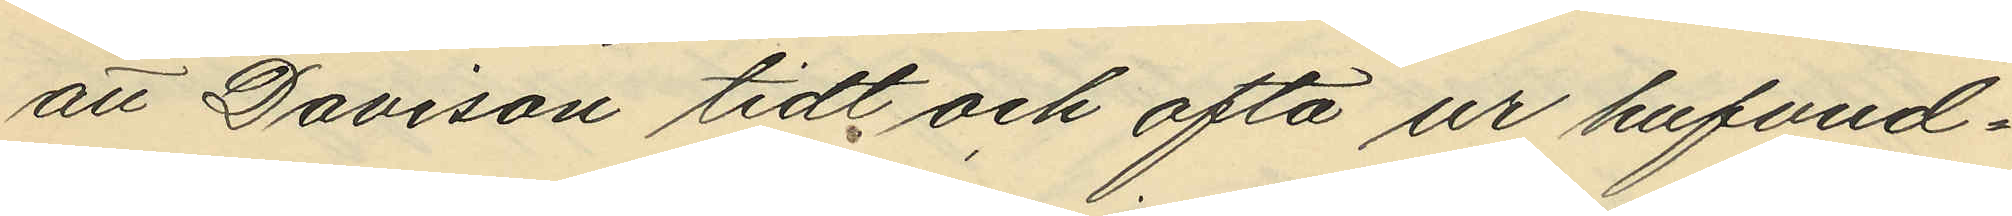att Davison tidt och ofta ur hufvud¬
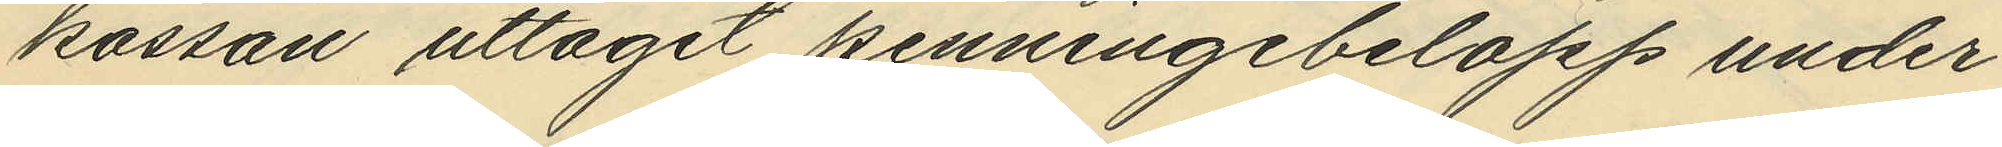kassan uttagit penningebelopp under
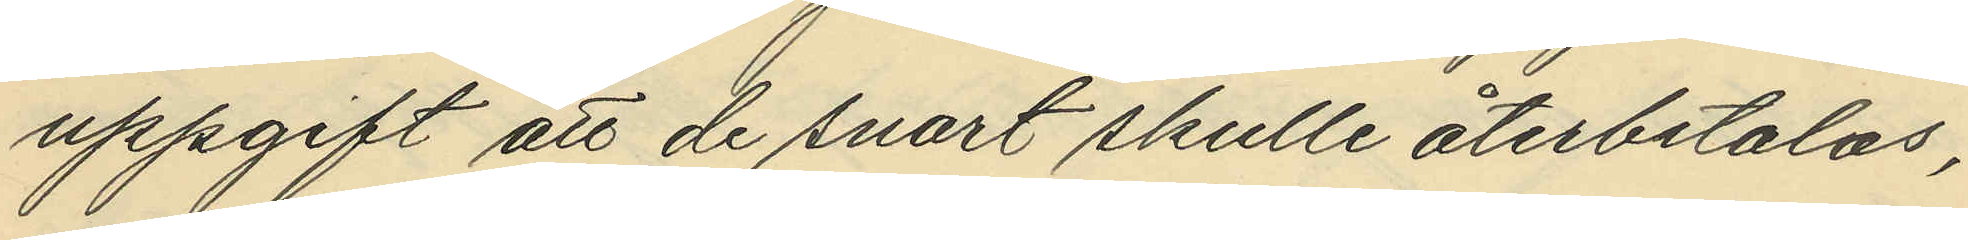uppgift att de snart skulle återbetalas,
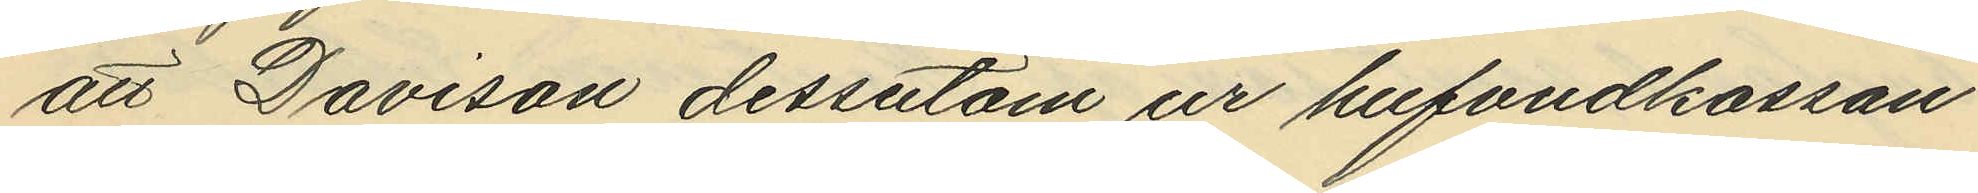att Davison dessutom ur hufvudkassan
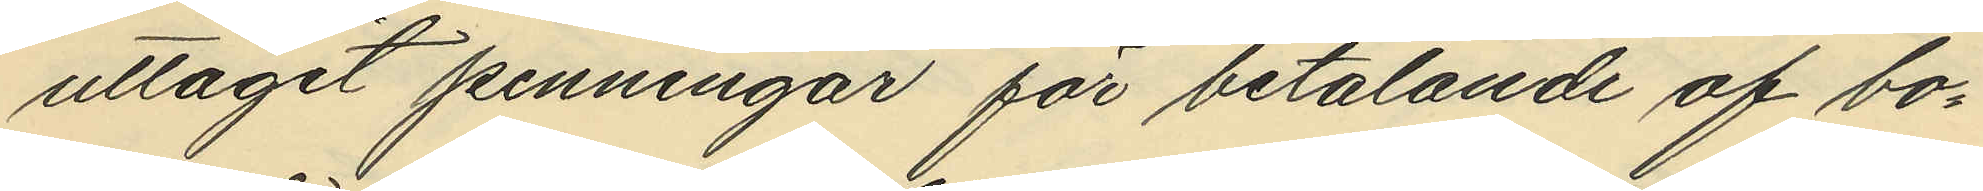uttagit penningar för betalande af bo¬
